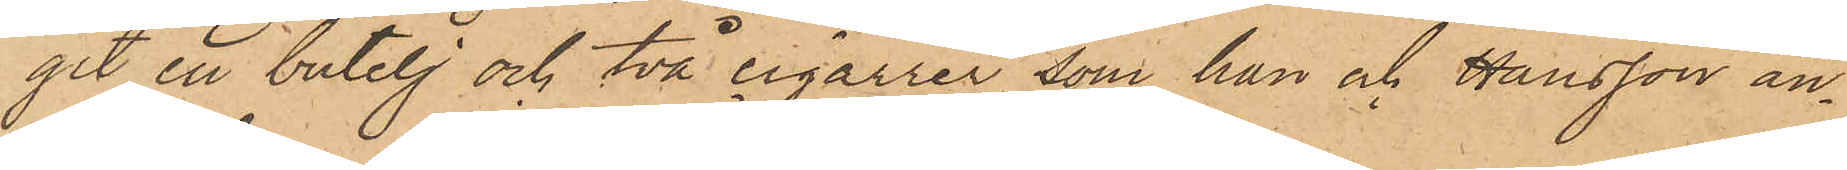git en butelj och två cigarrer, som han och Hansson an¬
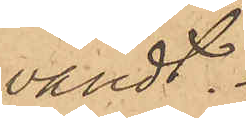vändt.
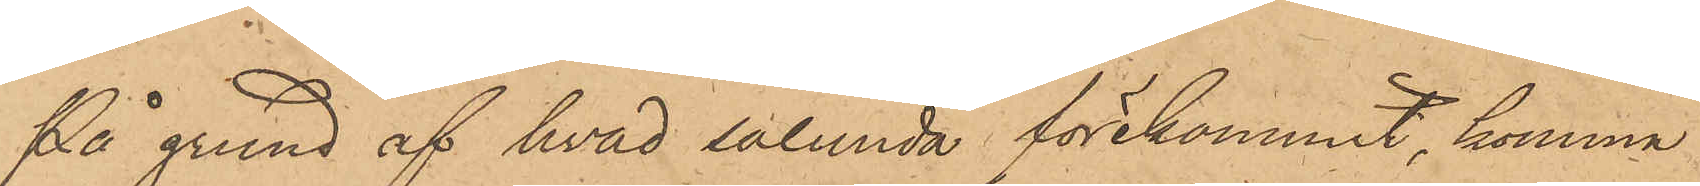På grund af hvad sålunda förekommit, komma
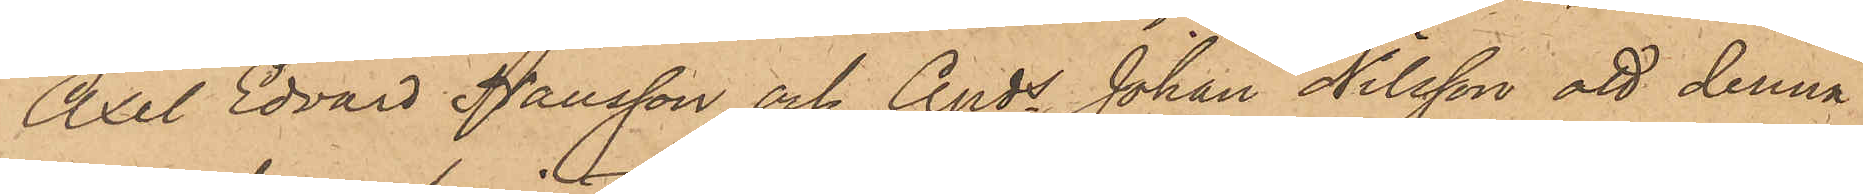Axel Edvard Hansson och Anders Johan Nilsson att denna
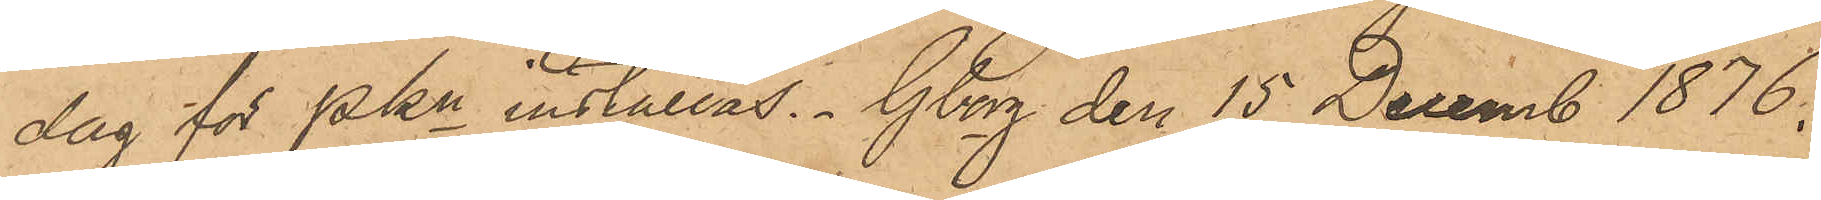dag för PKn inställas. Gborg den 15 Decemb 1876.
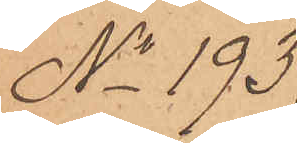No 193
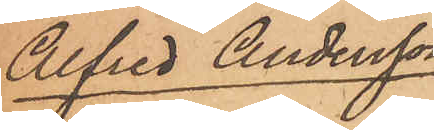Alfred Andersson
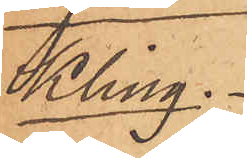Kling.
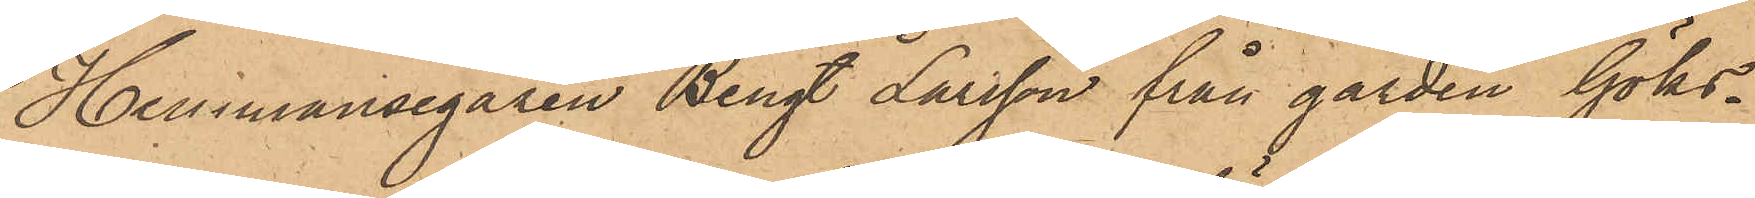Hemmansegaren Bengt Larsson från gården Göks¬
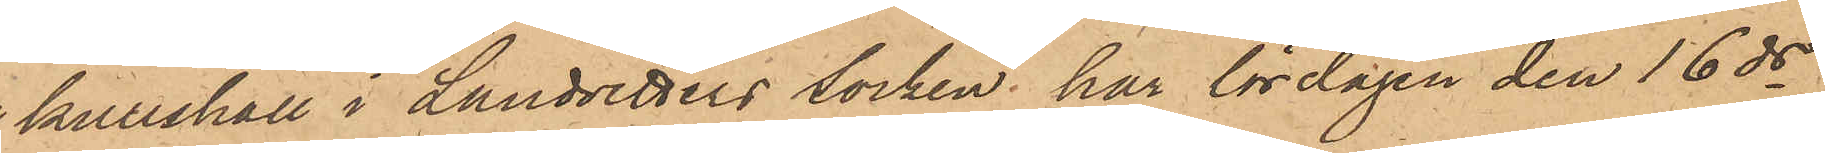kulla hall i Landvetters socken har lördagen den 16 ds
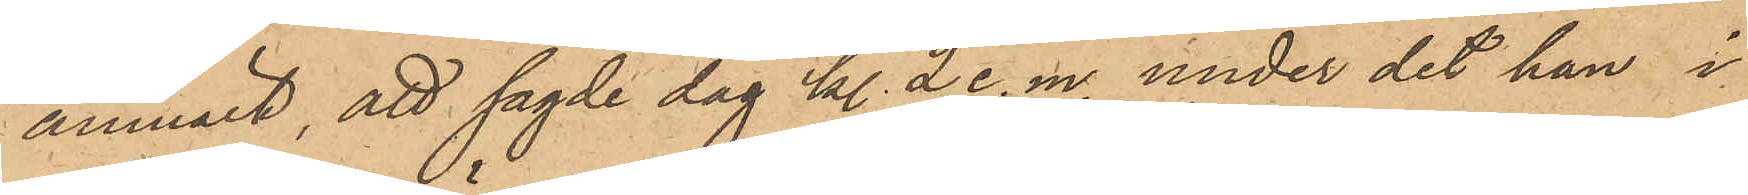anmält, att sagde dag kl. 2 e. m. under det han i
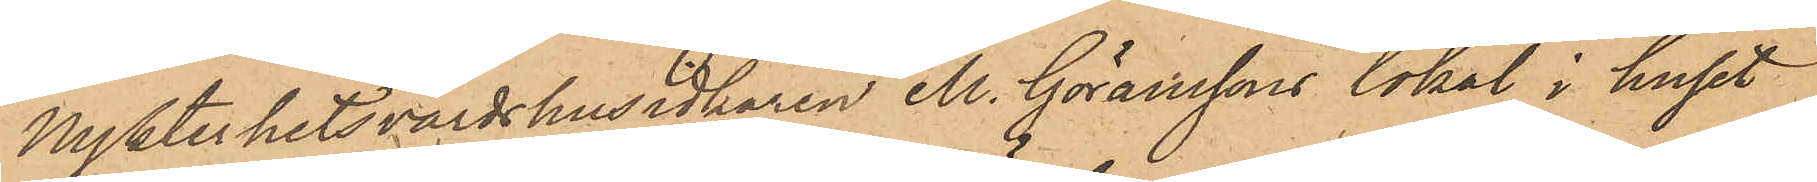Nykterhetsvärdshusidkaren M. Göranssons lokal i huset
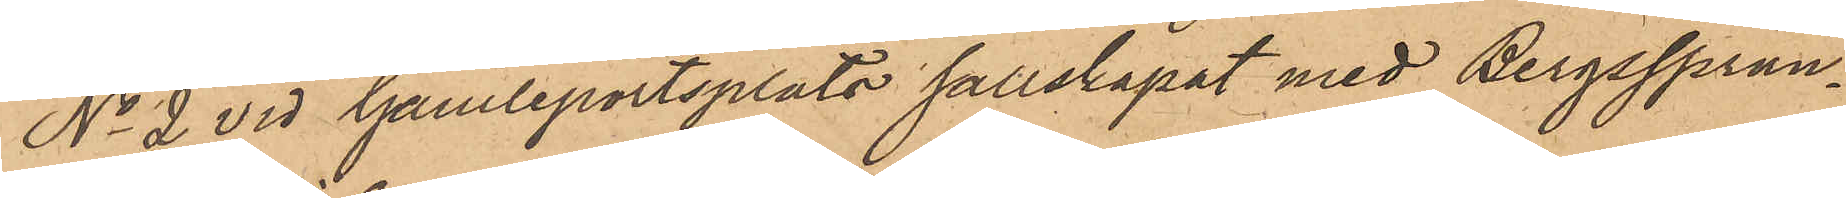No 2 vid Gamleportsplats sällskapat med Bergssprän¬
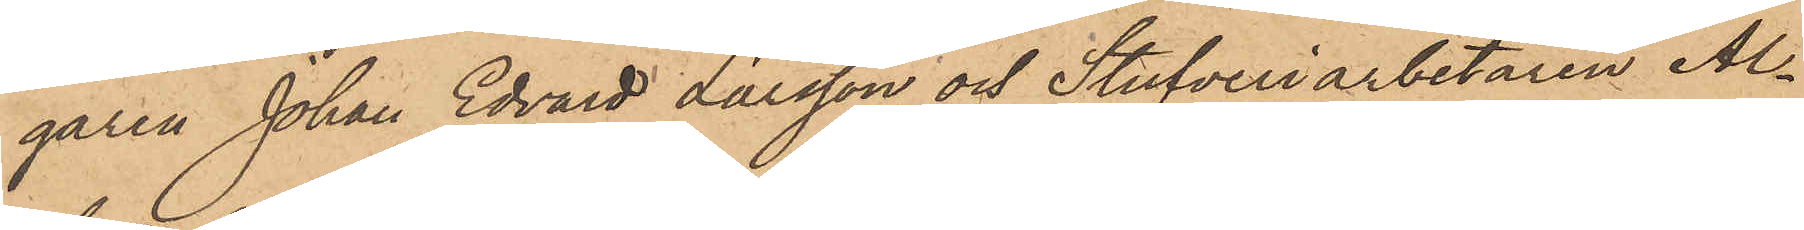garen Johan Edvard Larsson och Stufveriarbetaren Al¬
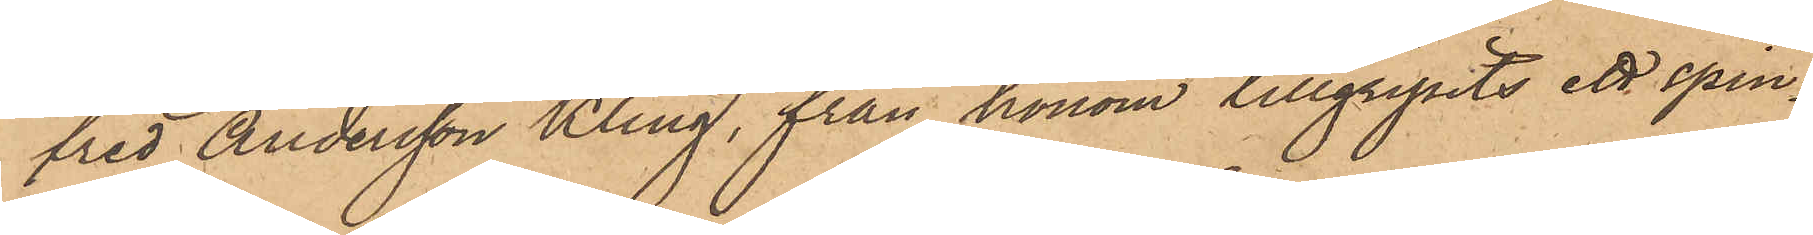fred Andersson Kling, från honom tillgripits ett spin¬
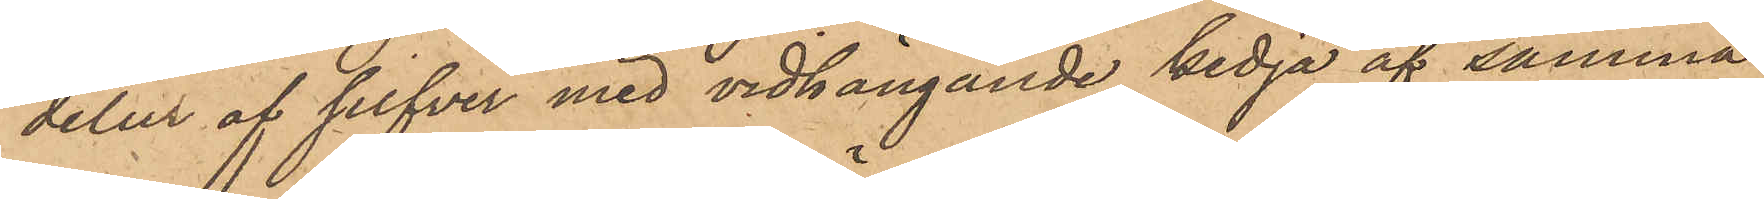delur af silfver med vidhängande kedja af samma
